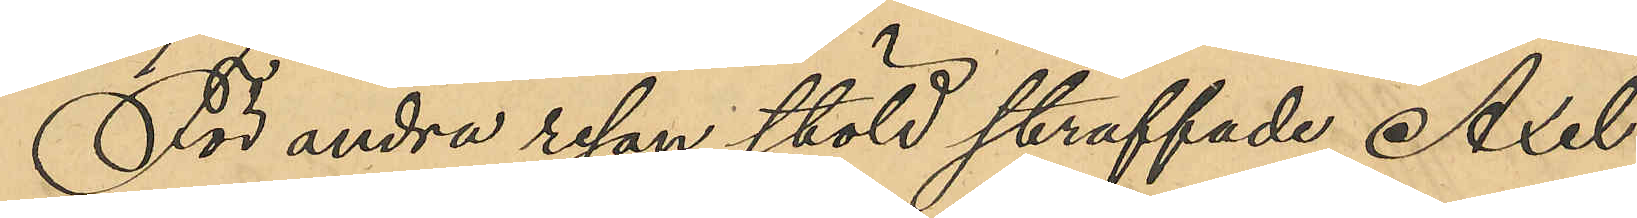För andra resan stöld straffade Axel
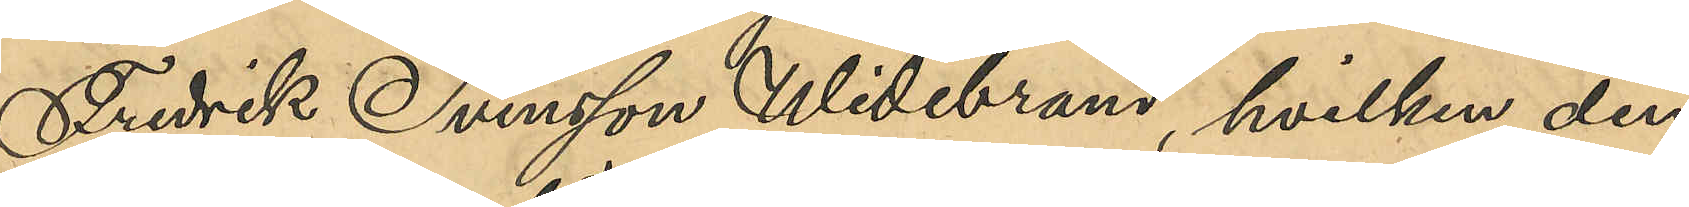Fredrik Svensson Widebrand, hvilken den
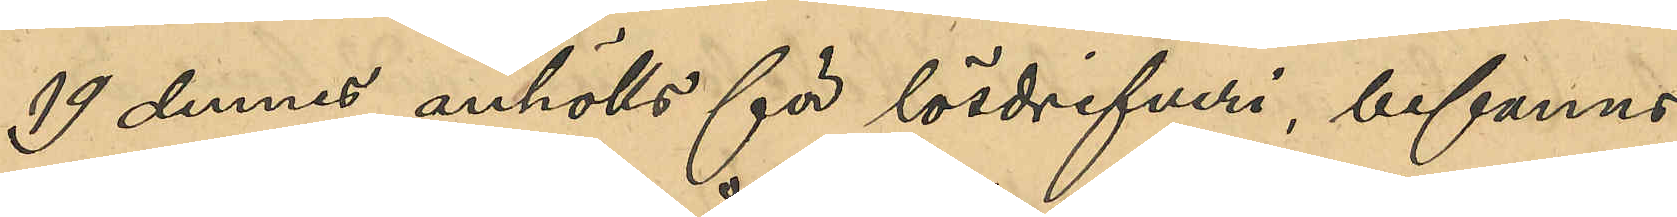19 dennes anhölls för lösdrifveri, befanns
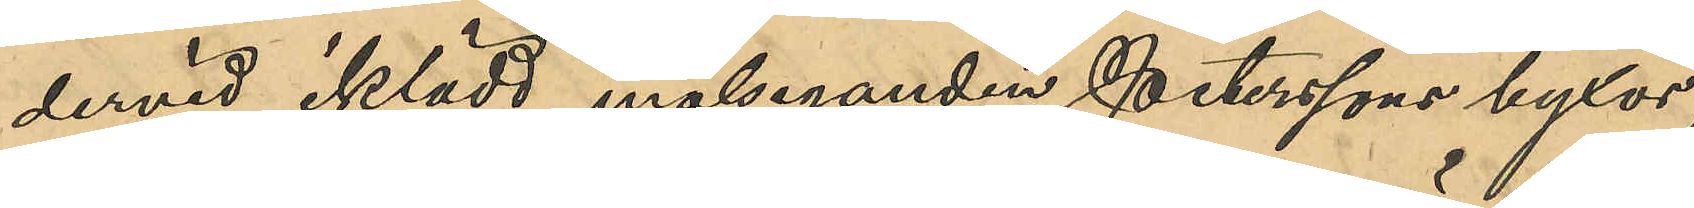dervid iklädd målseganden Peterssons byxor,
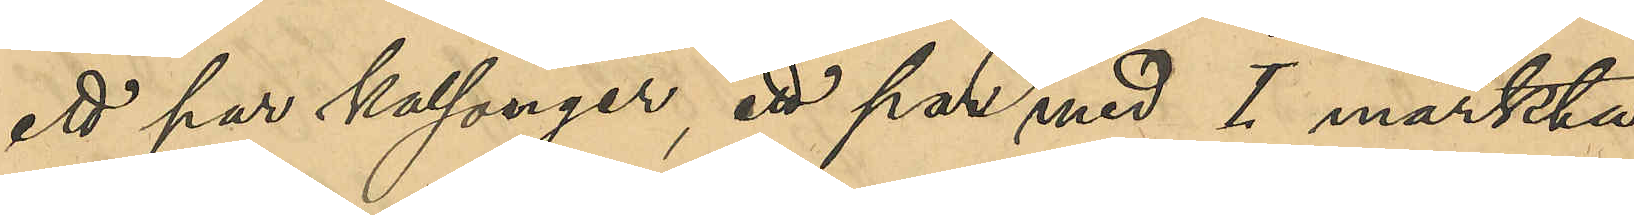ett par kalsonger, ett med I märkta
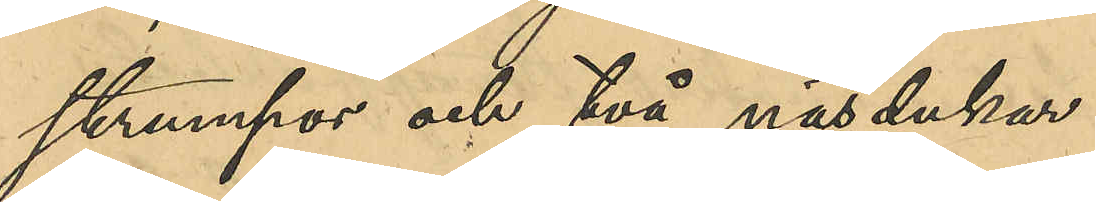strumpor och två näsdukar.
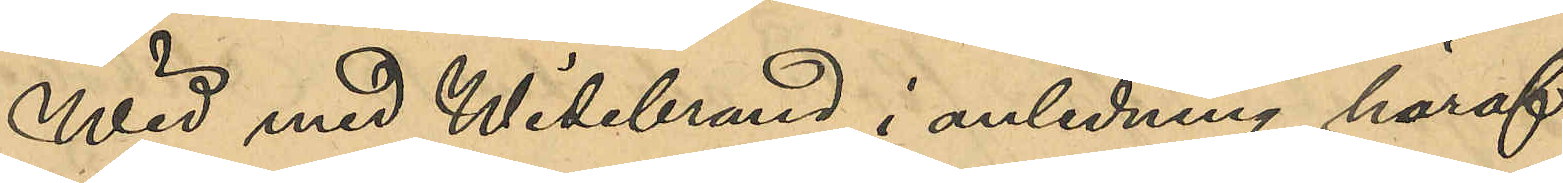Wid med Widebrand i anledning häraf
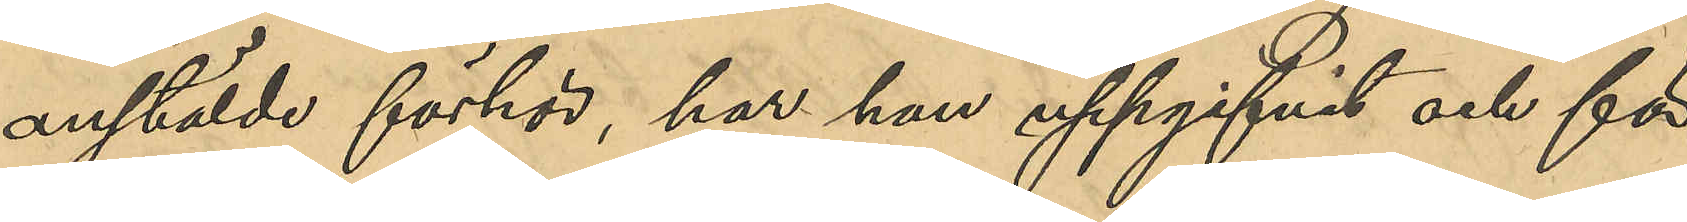anstälde förhör, har han uppgifvit och för¬
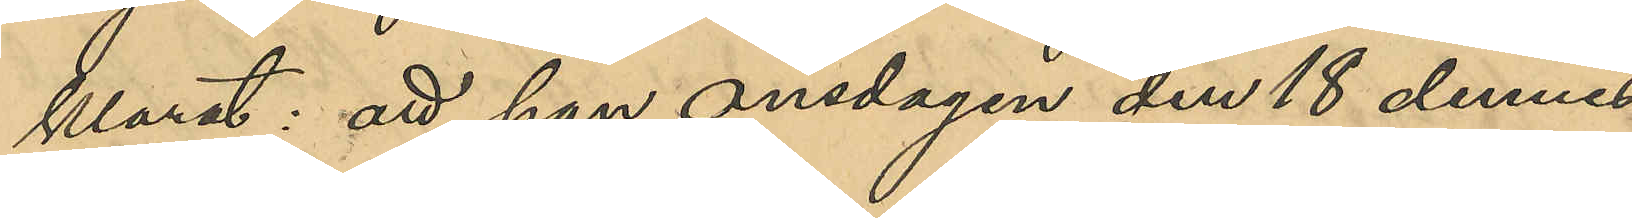klarat: att han onsdagen den 18 dennes
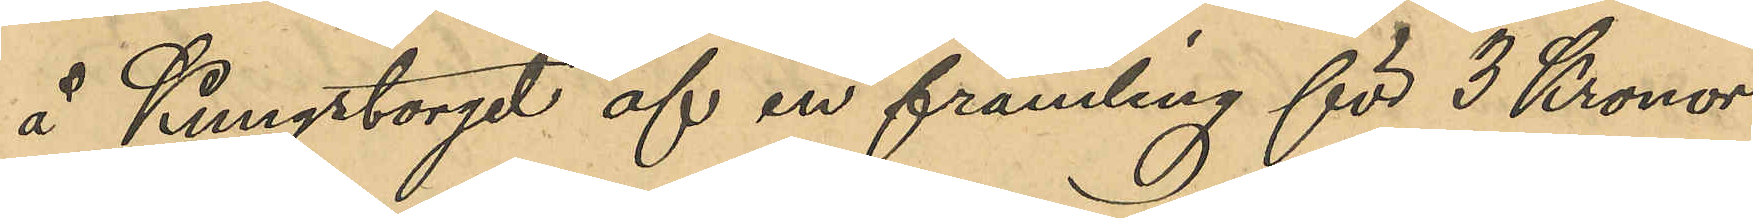å Kungstorget af en främling för 3 Kronor
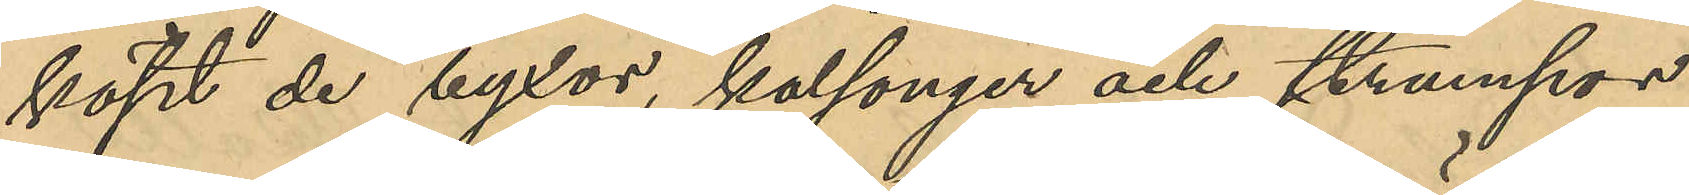köpt de byxor, kalsonger och strumpor
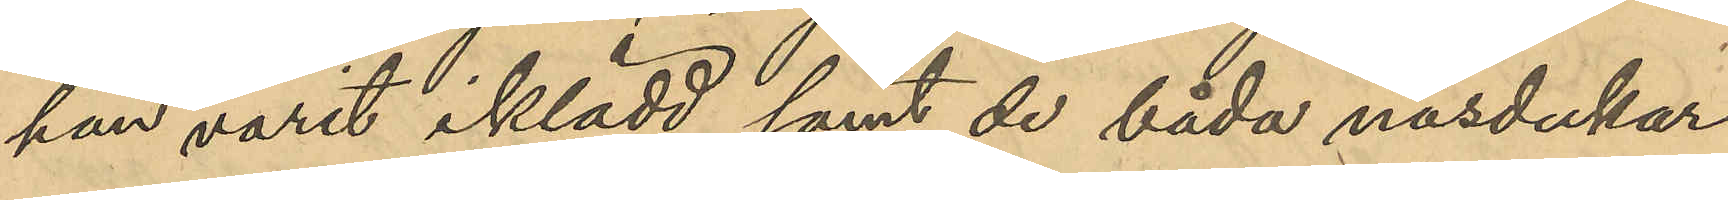han varit iklädd samt de båda näsdukar
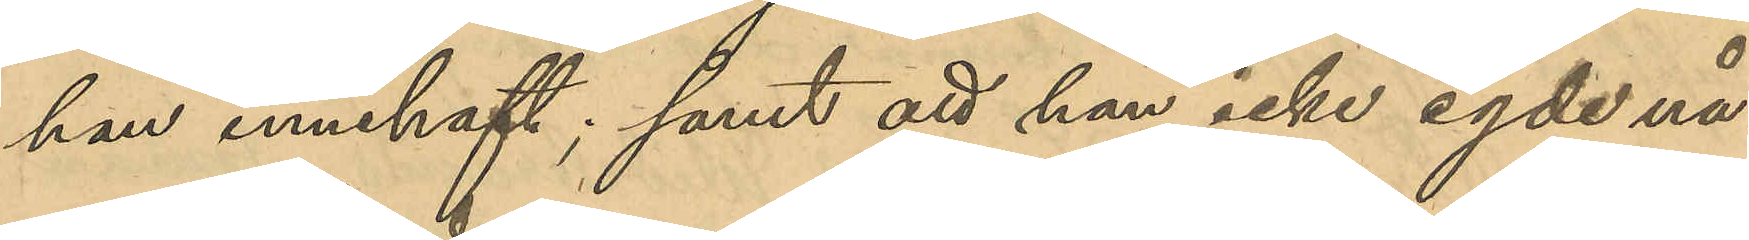han innehaft; samt att han icke egde nå¬
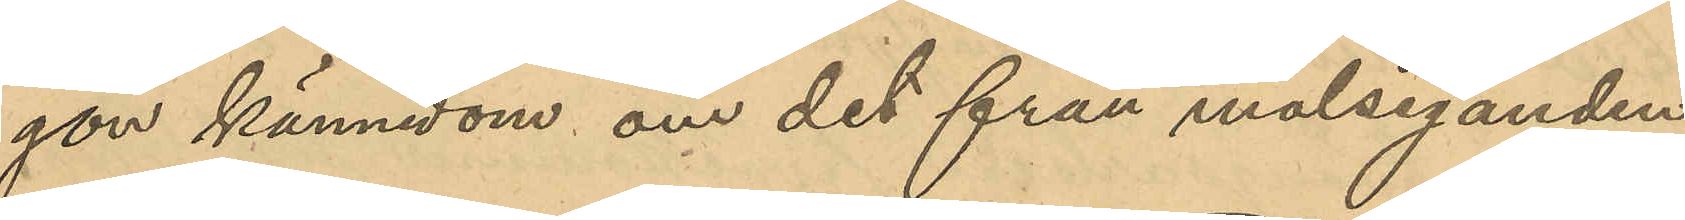gon kännedom om det från målseganden
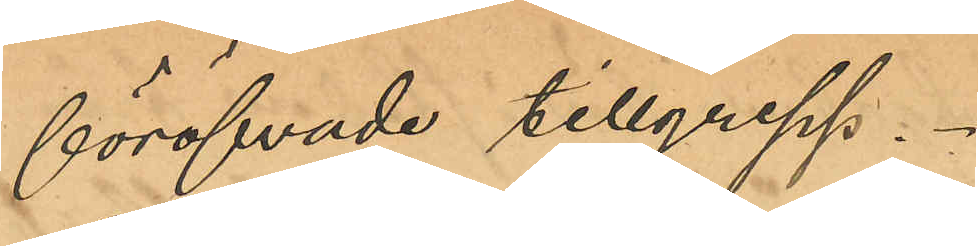föröfvade tillgrepp.
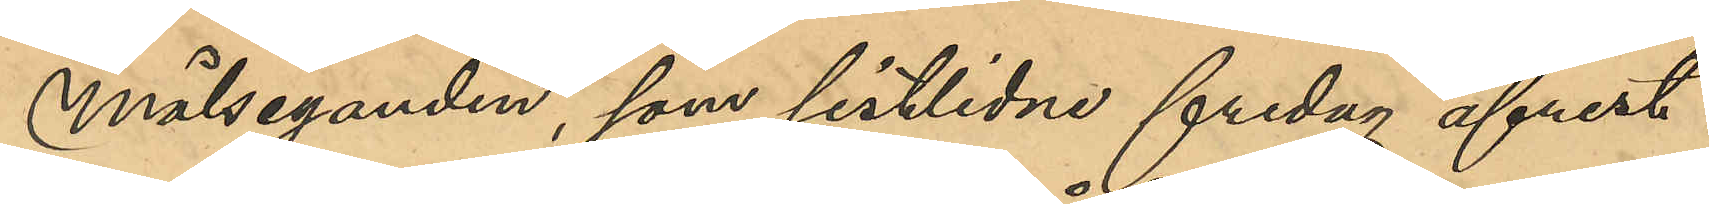Målseganden, som sistlidne fredag afrest
